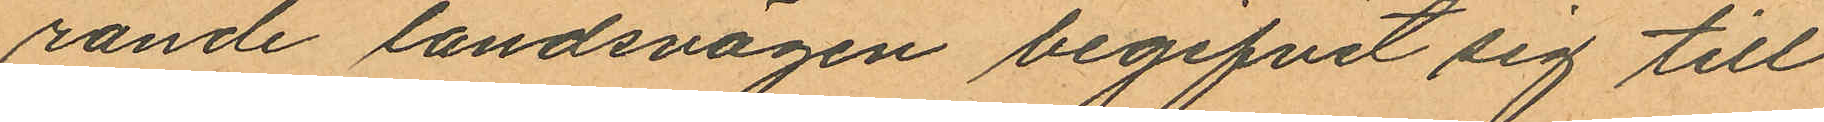rande landsvägen begifvit sig till
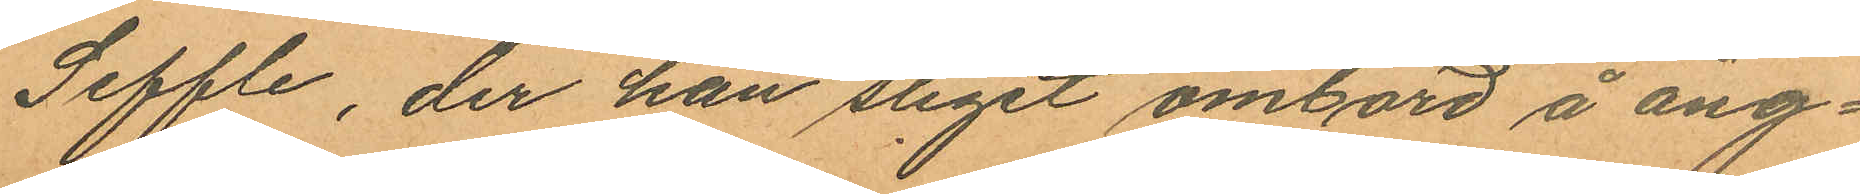Seffle, der han stigit ombord å ång¬
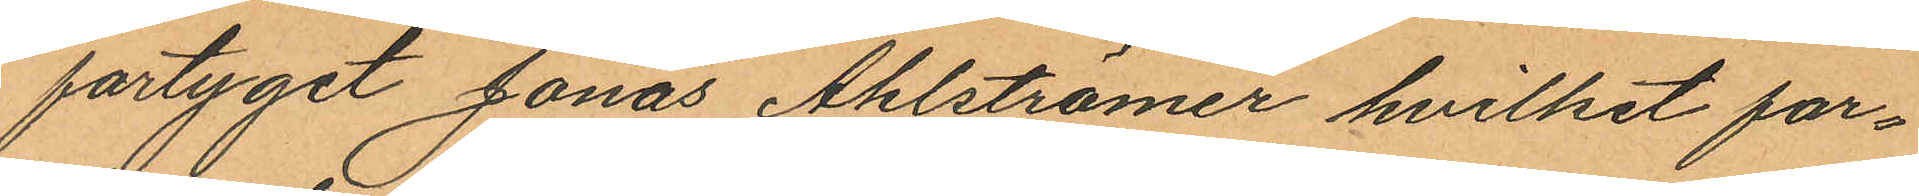fartyget Jonas Ahlströmer hvilket far¬
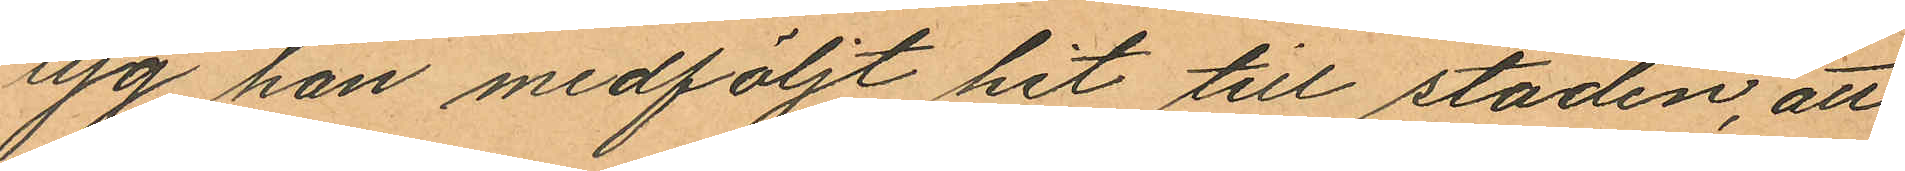tyg han medföljt hit till staden, att
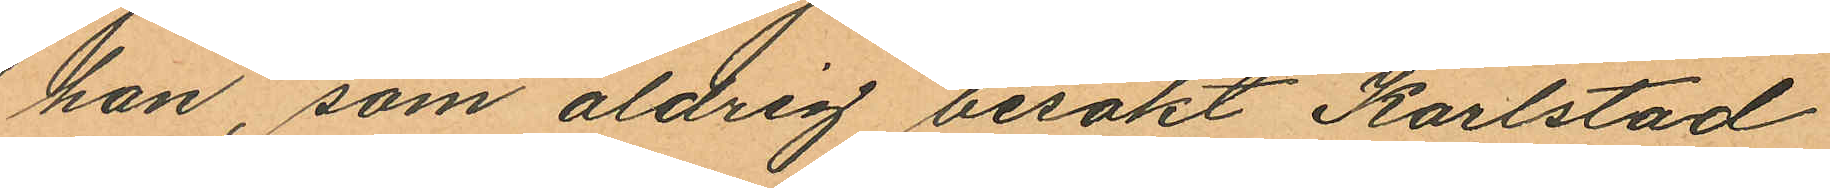han, som aldrig besökt Karlstad
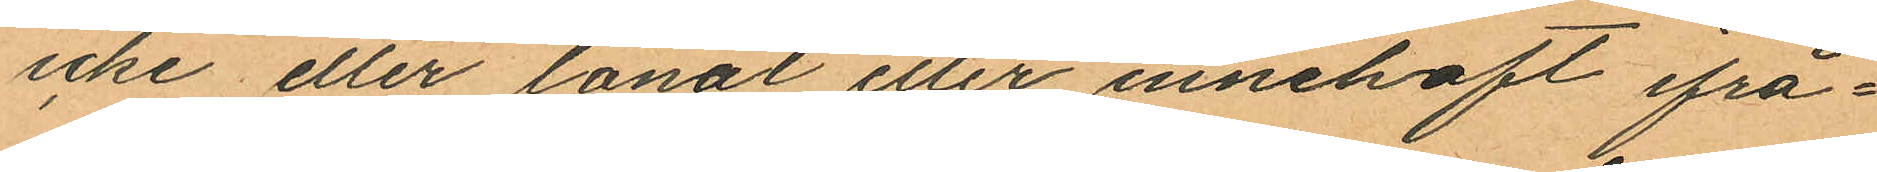icke eller lånat eller innehaft ifrå¬
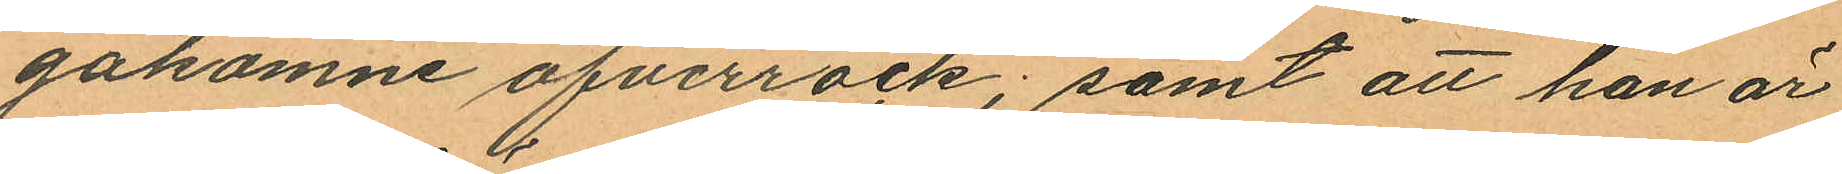gakomne öfverrock; samt att han är
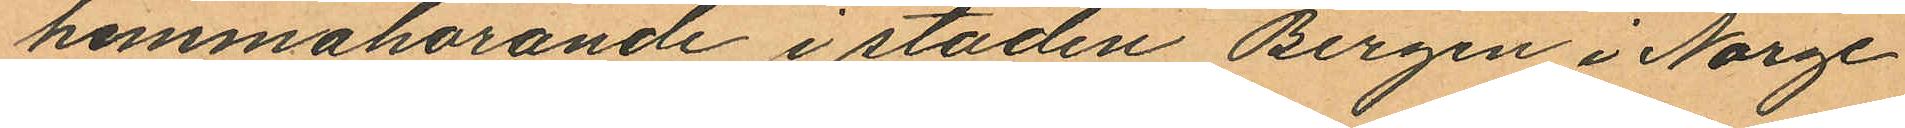hemmahörande i staden Bergen i Norge
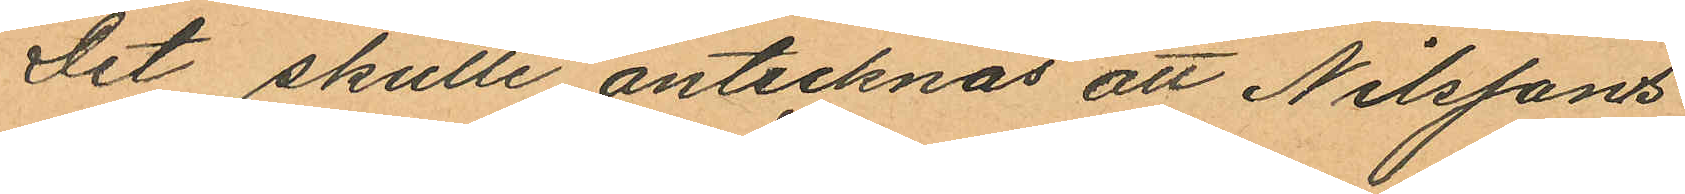Det skulle antecknas att Nilssons
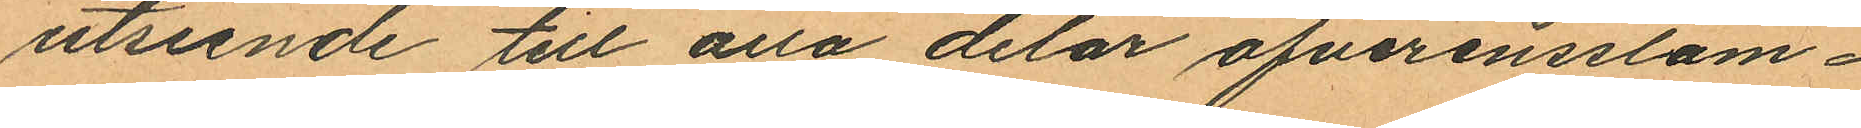utseende till alla delar öfverensstäm¬
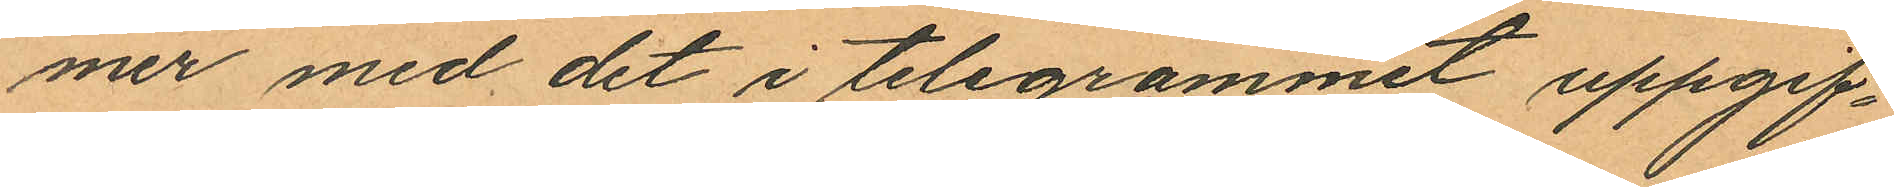mer med det i telegrammet uppgif¬
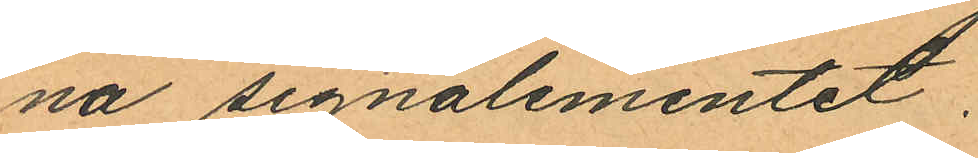na signalementet.
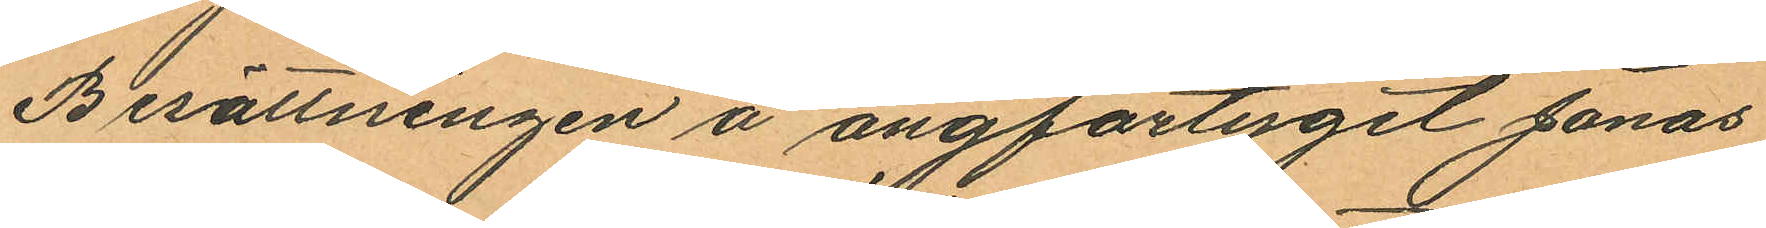Berättningen å ångförterget Jonas
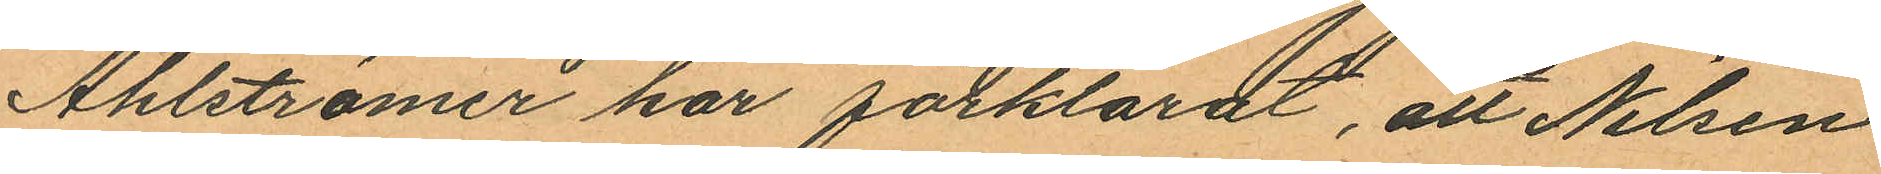Ahlströmer har förklarat, att Nilsen
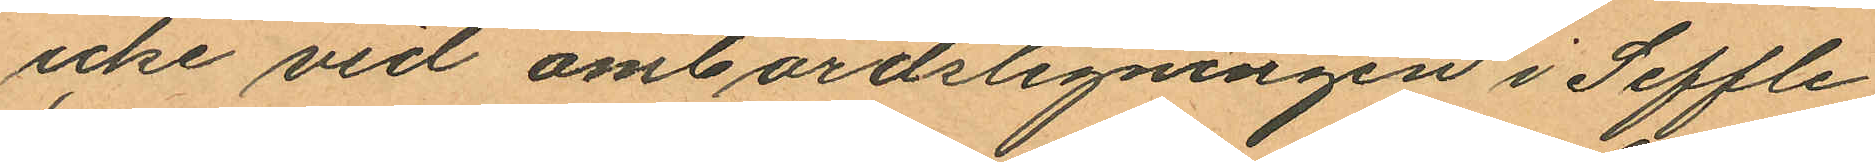icke vid ombordstigningen i Seffle
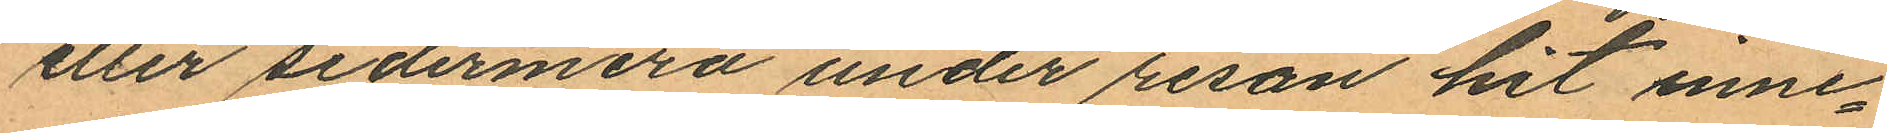eller sedermera under resan hit inne¬
